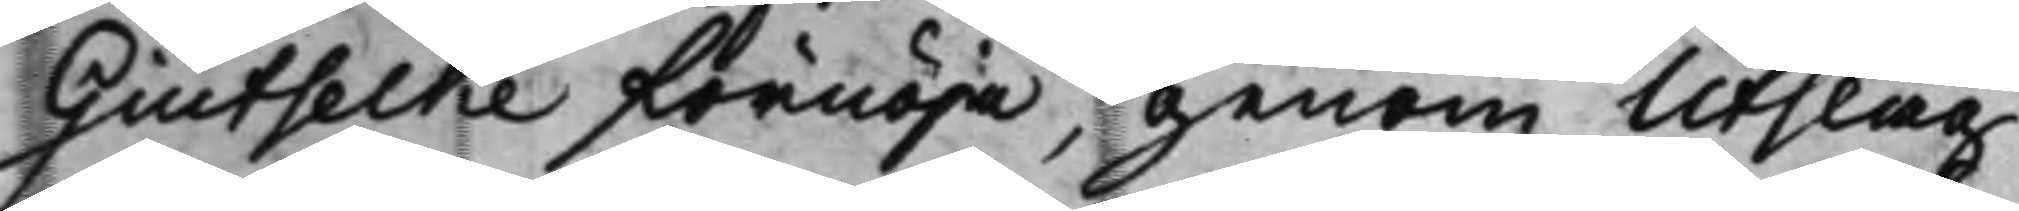Giutselke förnöja, genom Utslag
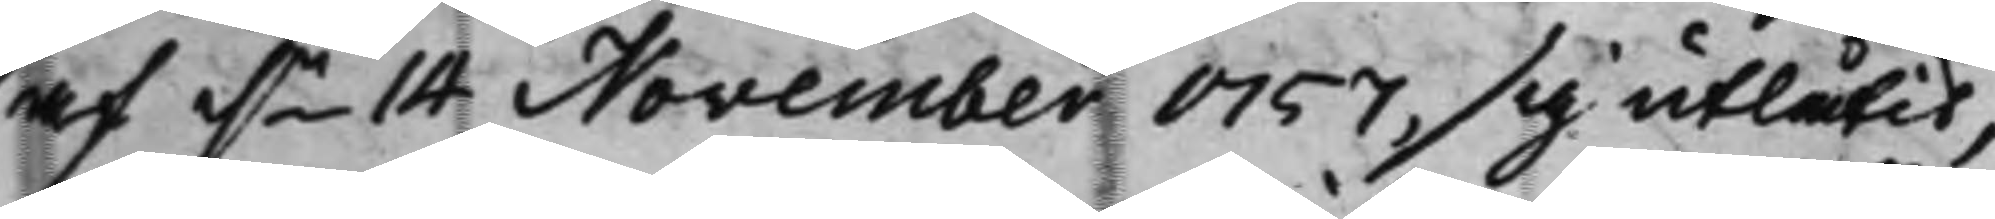af d.n 14 November 1757, sig utlåtit,
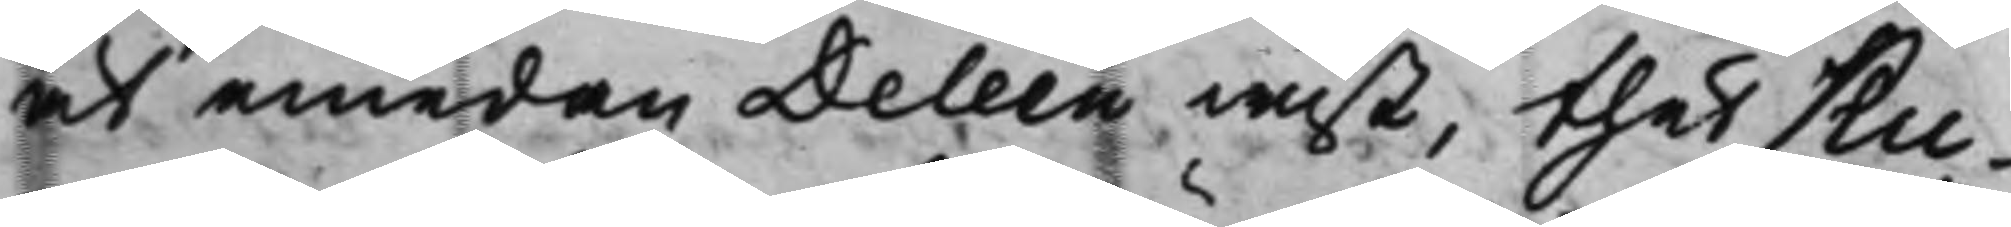at emedan Deleen wist, thet Ku¬
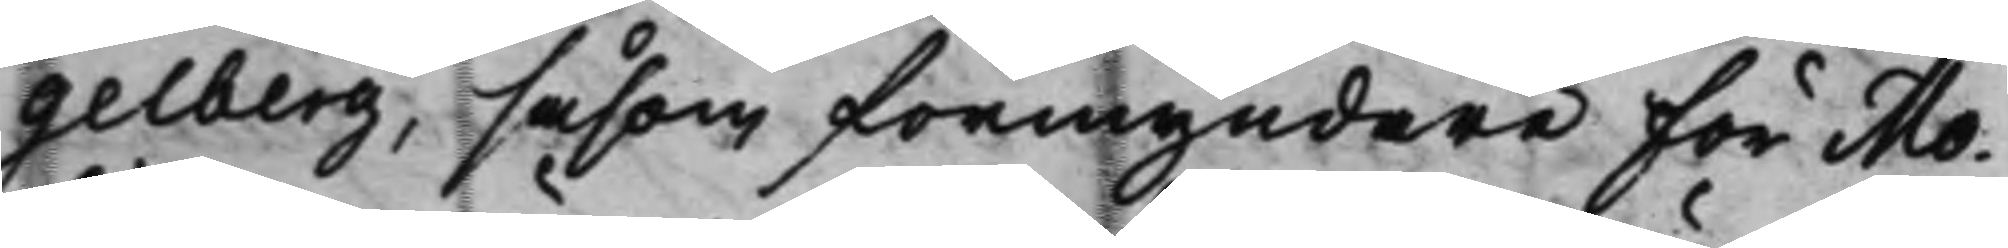gelberg, såsom förmyndare för Mo¬
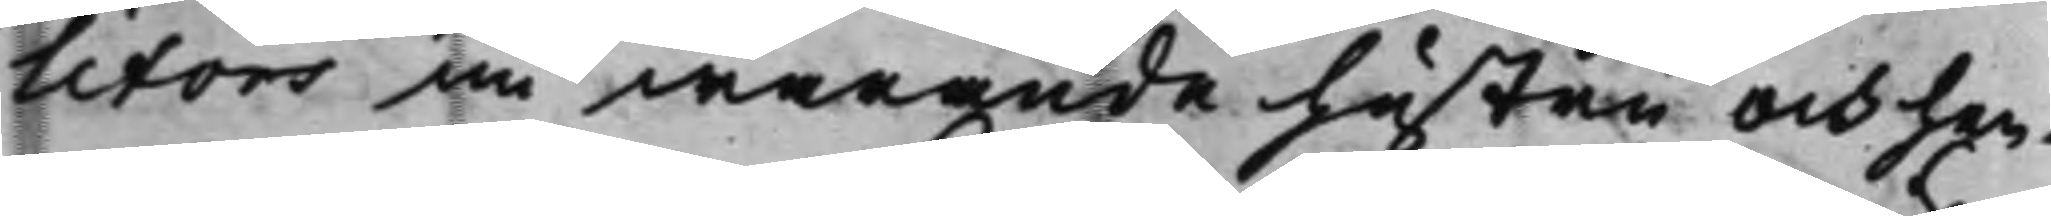litors nu warande hustru och hen¬
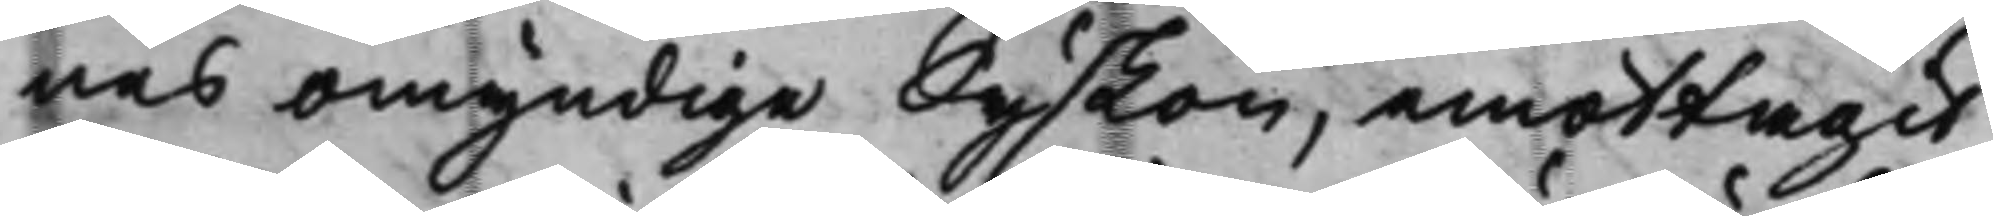nes omyndige Syskon, emottagit
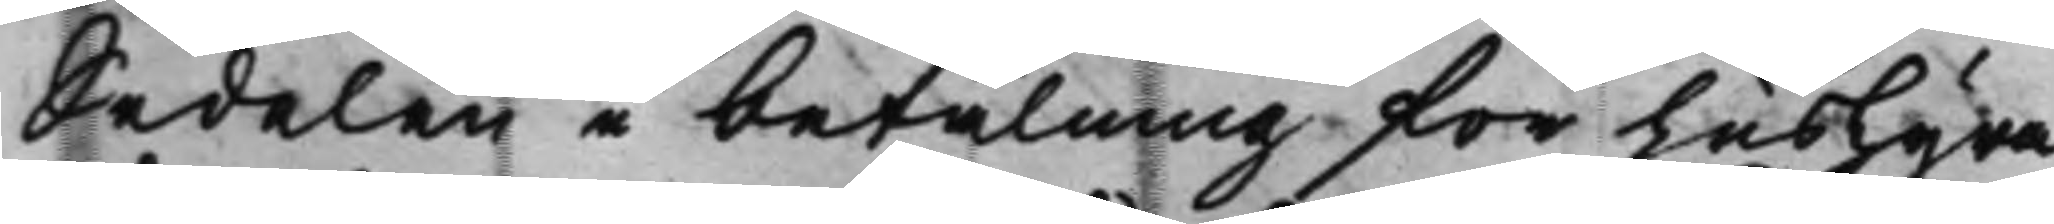Sedelen i betalning för husHyra
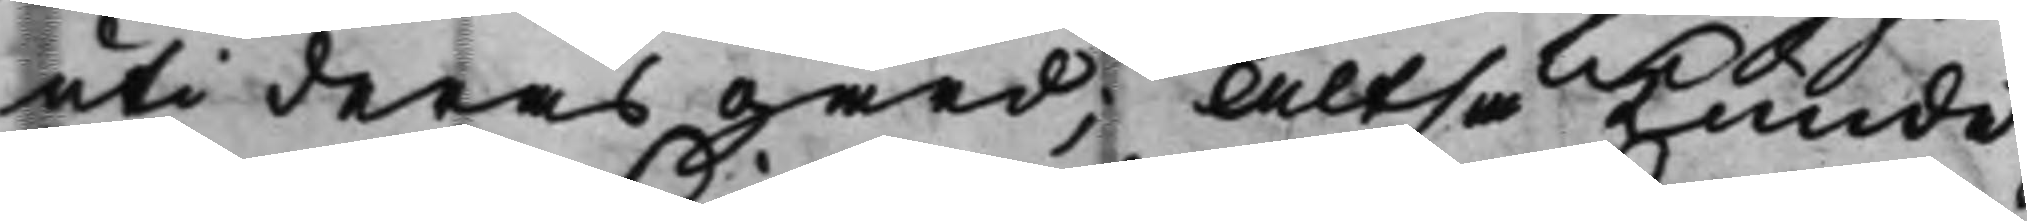uti deras gård; Altså kunde
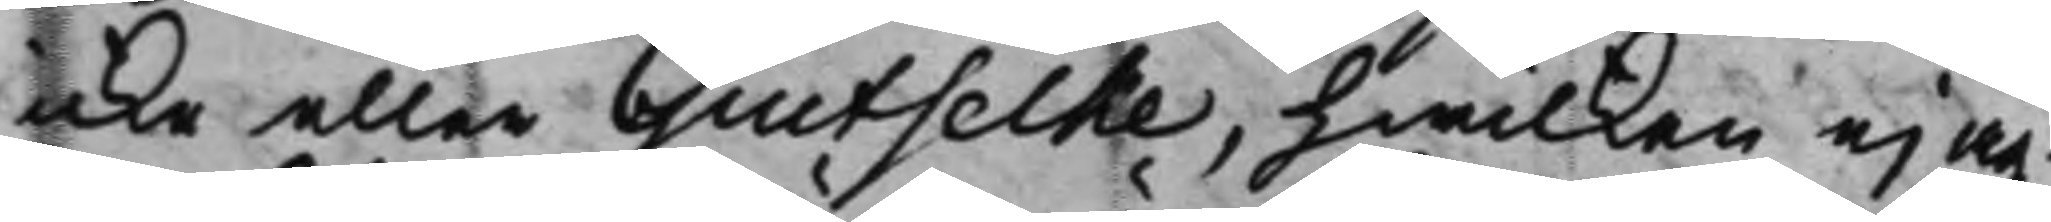icke eller Giutselke, hwilken ej äg¬
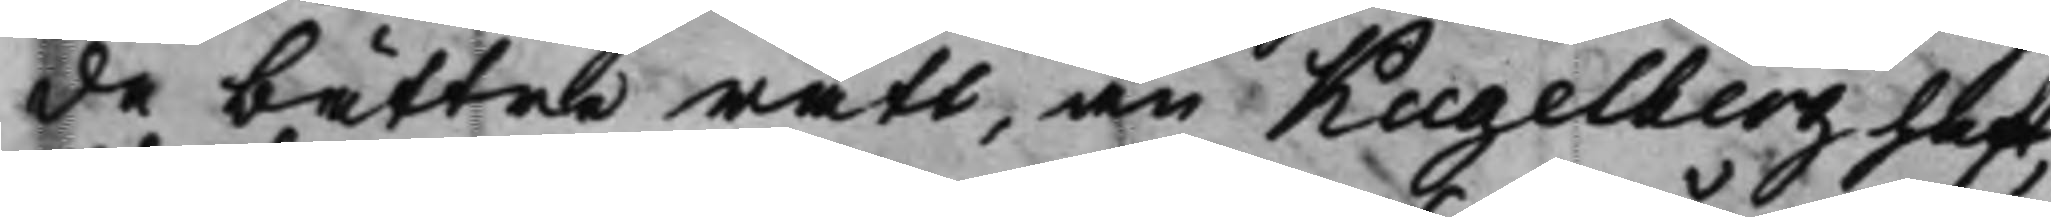de bättre rätt, än Kugelberg haft,
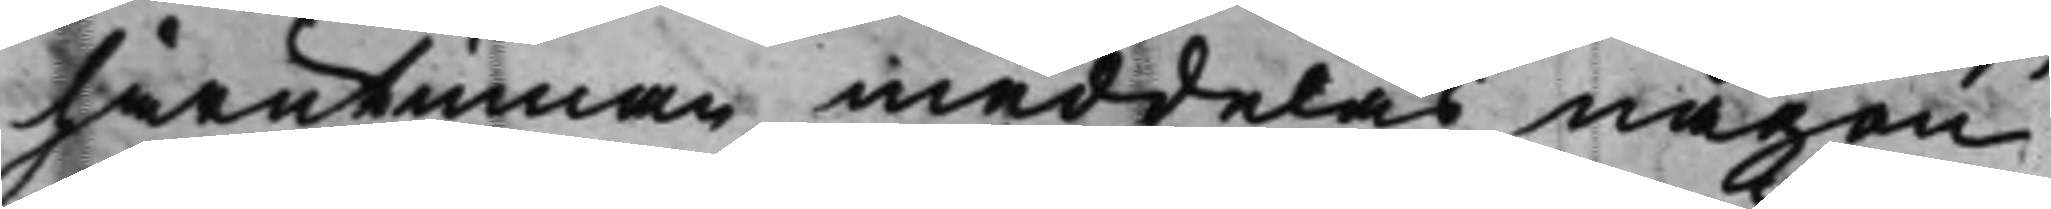härutinnan meddelas någon
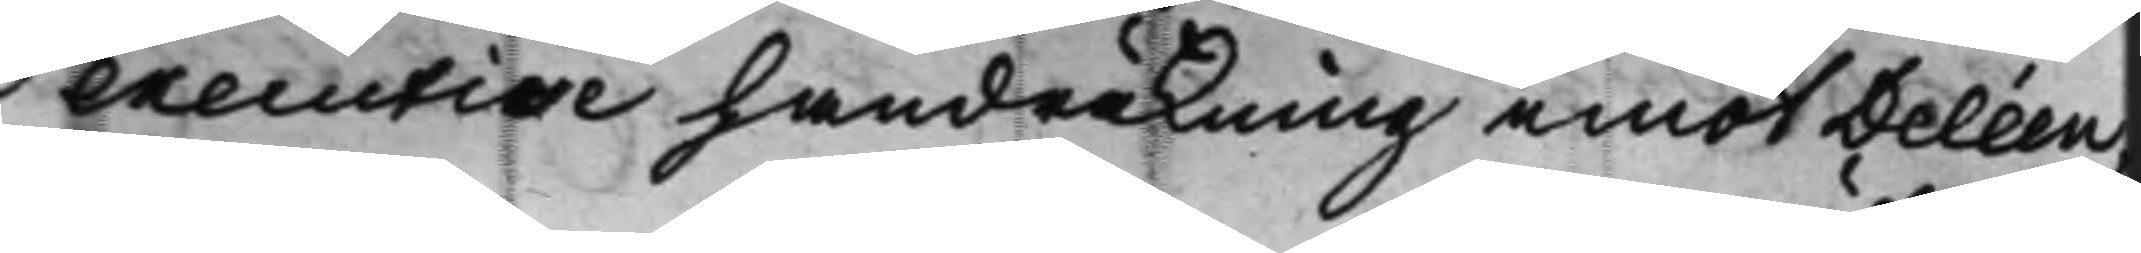executive handräkning emot Deléen,
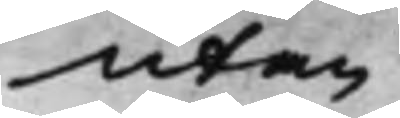utan
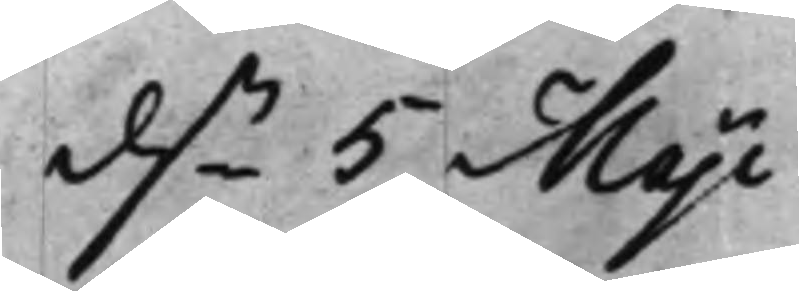d..n 5 Maji
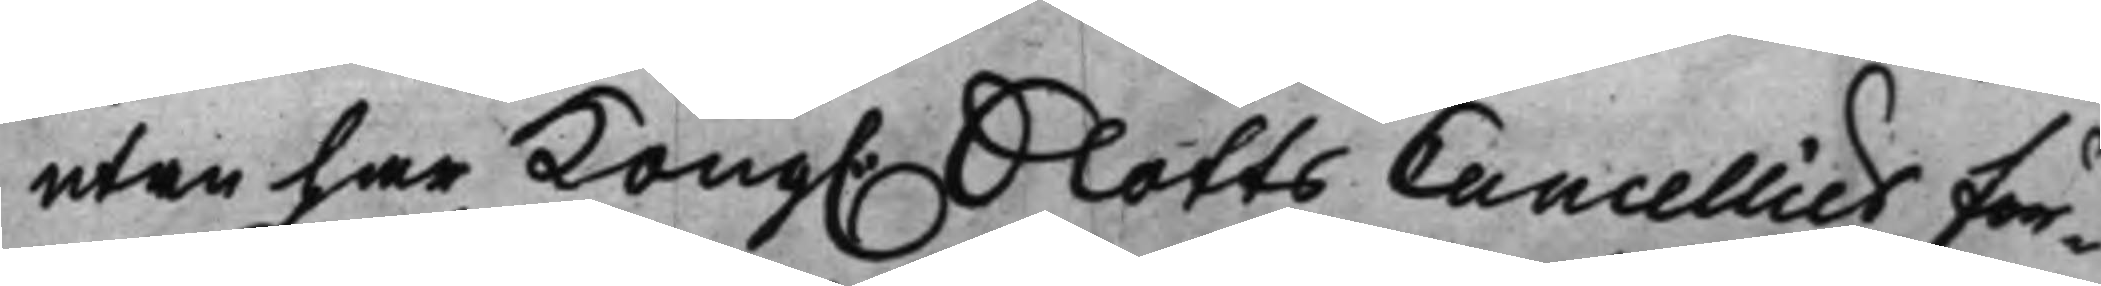utan har Kong. SlottsCancelliet för¬
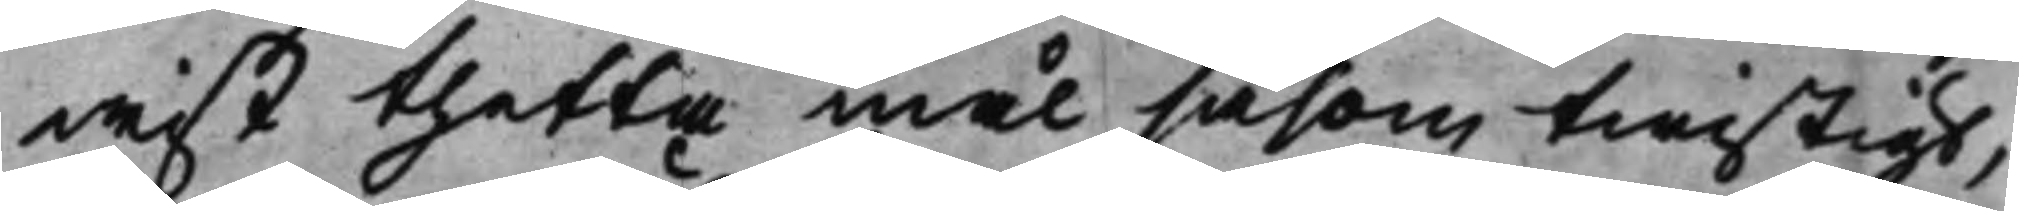wist thetta mål såsom twistigt,
